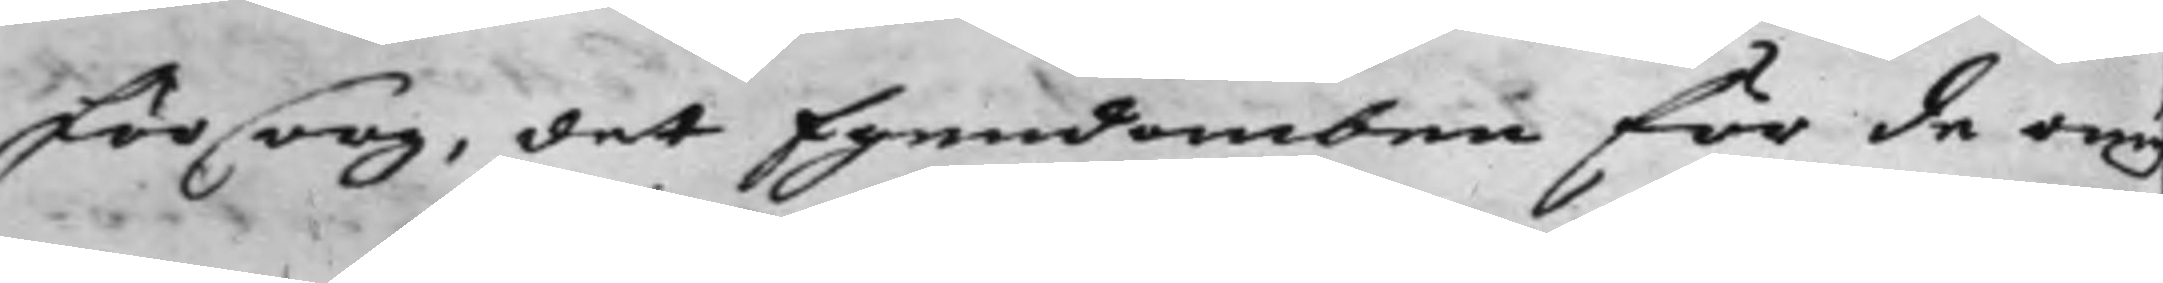försorg, det Egendomben för de omy
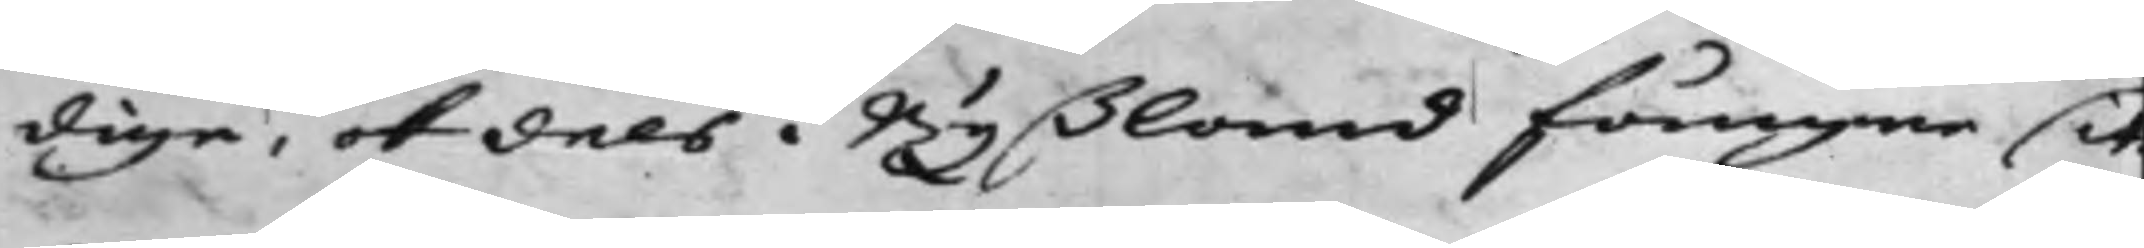dige, och dels i Ryßland fångne sit¬
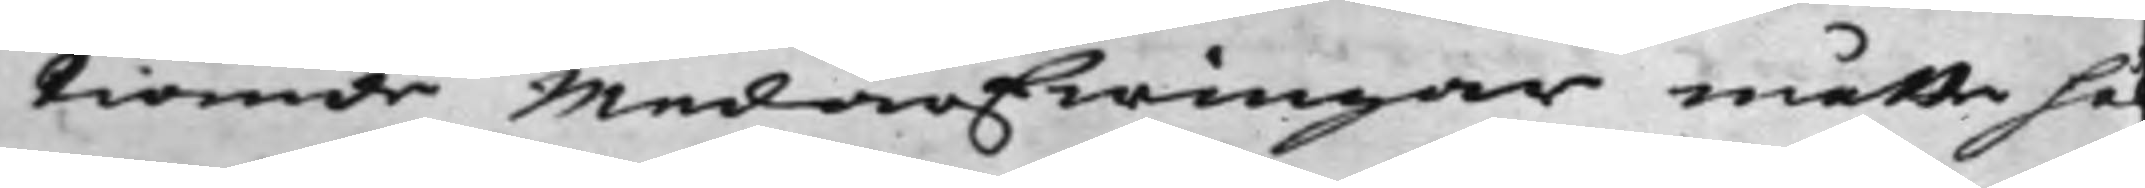tiande Medarfwingar måtte hå
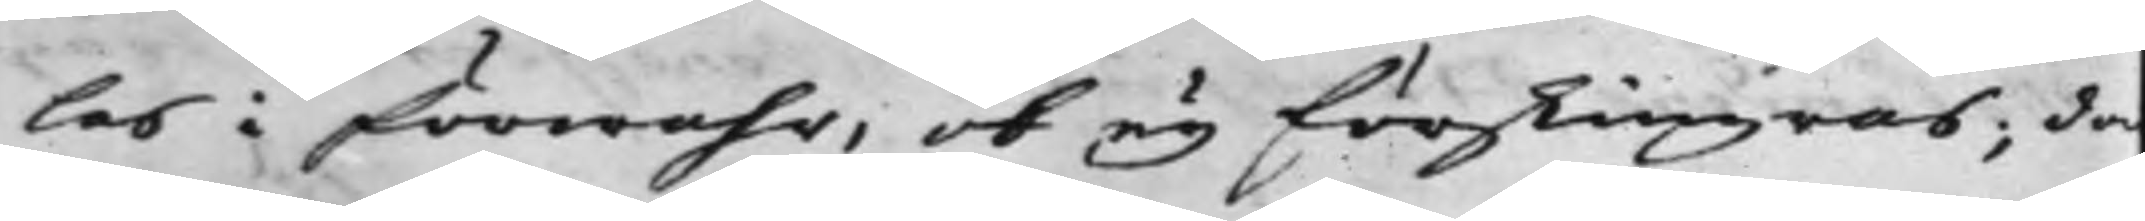las i förwahr, ok ey förskingras; da
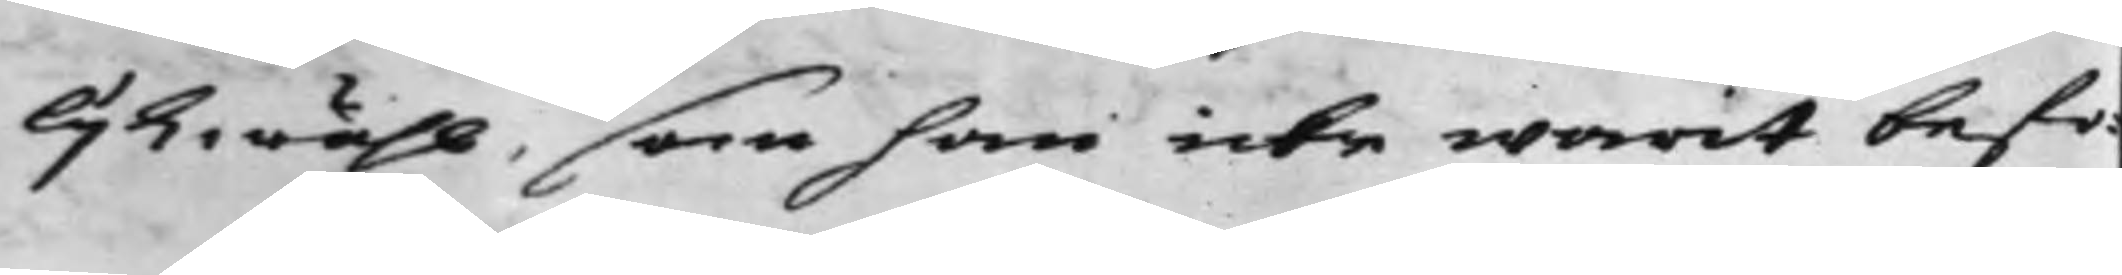lijkwähl, som han icke warit befo¬
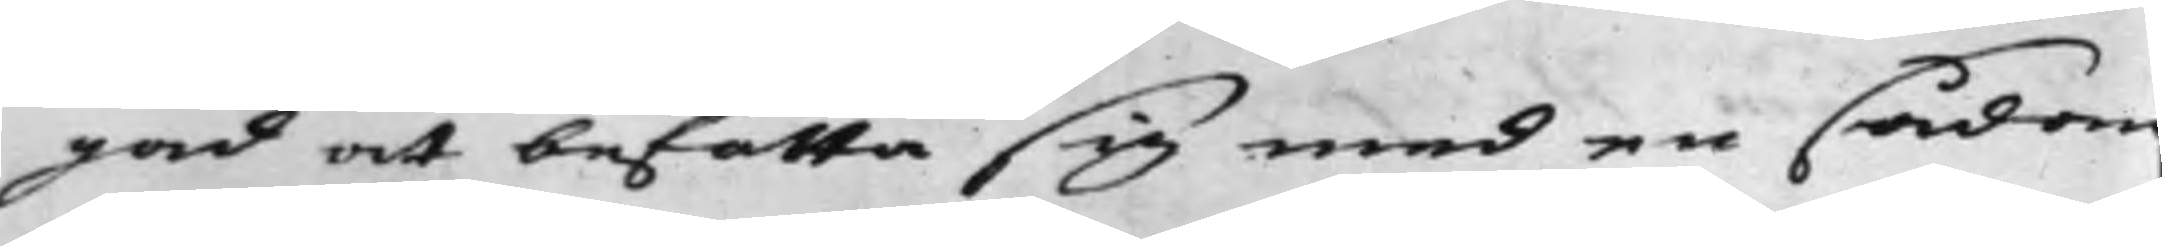gad at befatta sig med en sådan
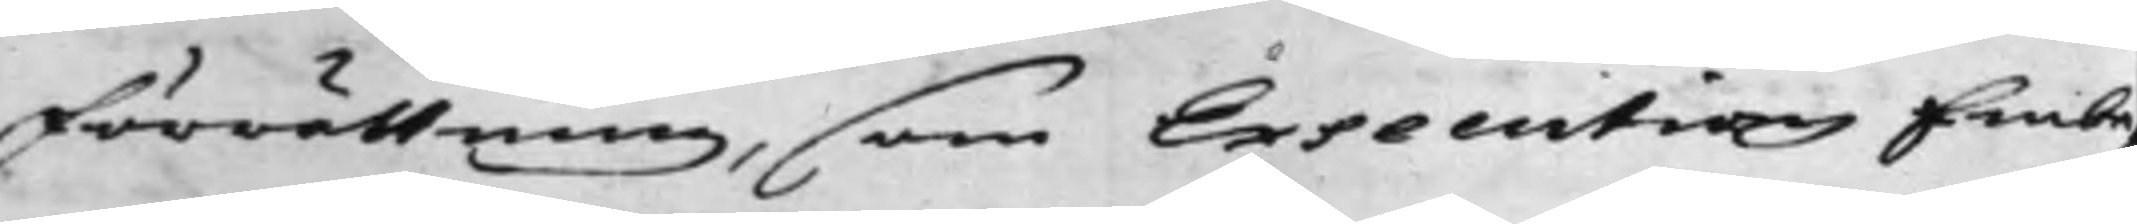förrättning, som Executions Embe¬
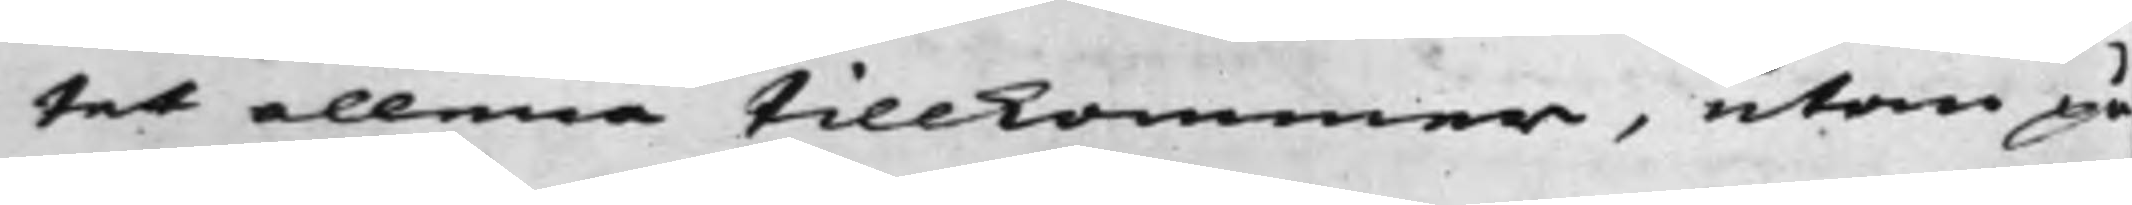tet allena tillkommer, utom på
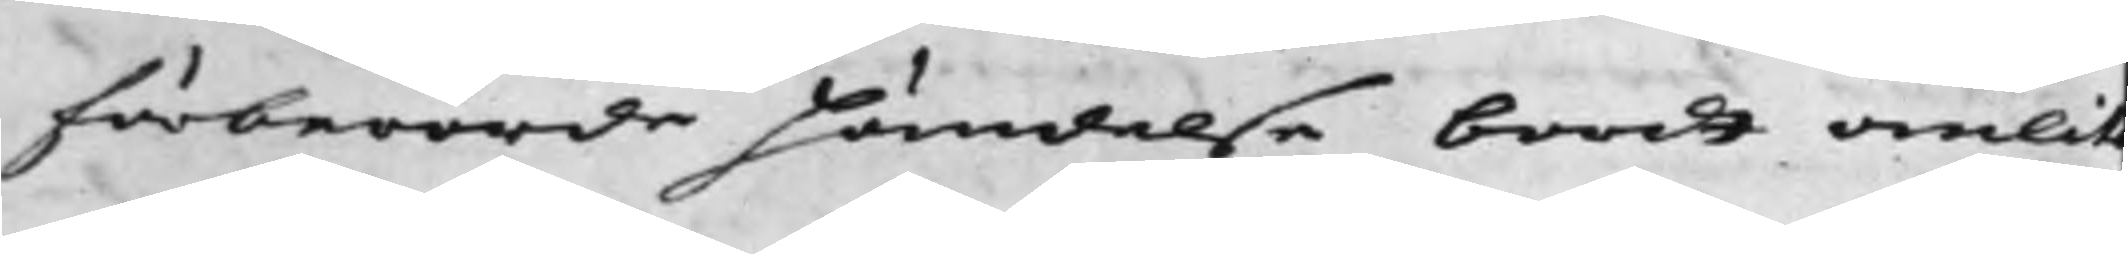förberörde händelse bordt anlit
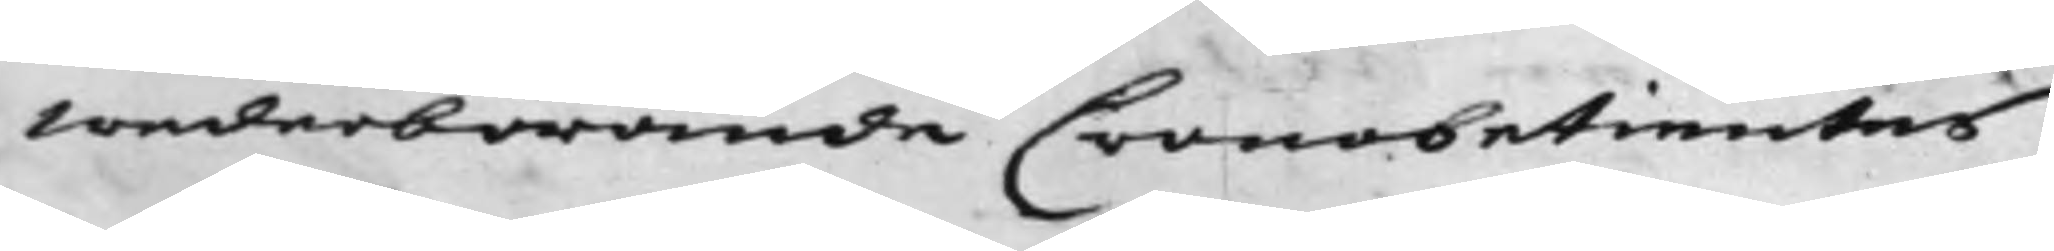wederbörande Cronobetientes
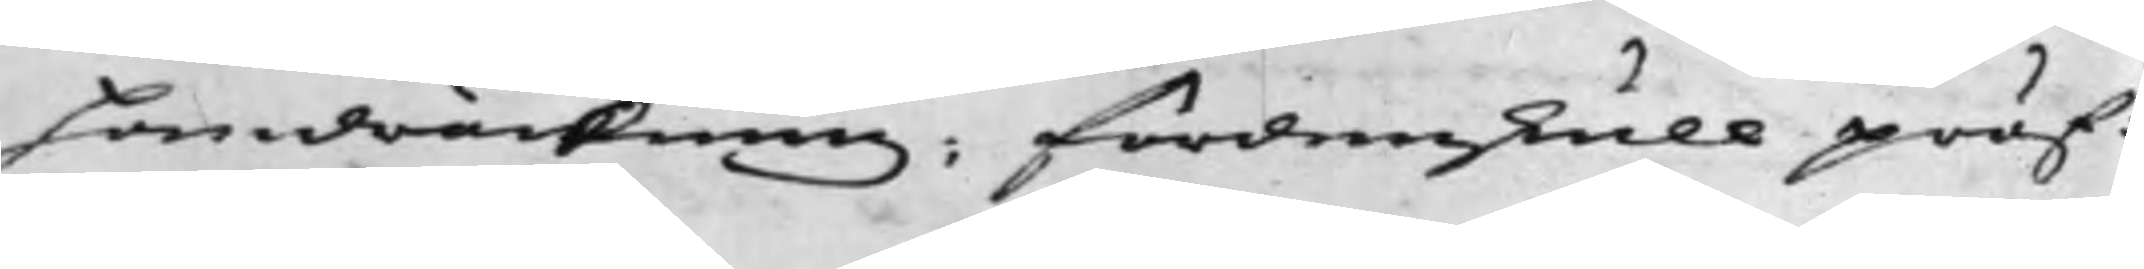handräckning; Fördenskull pröf¬
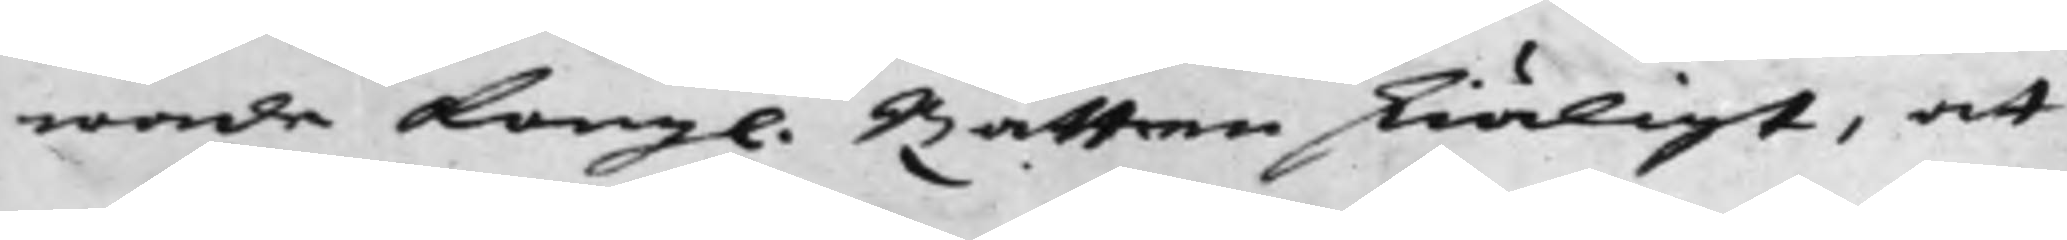wade Kong. Rätten skiäligt, at
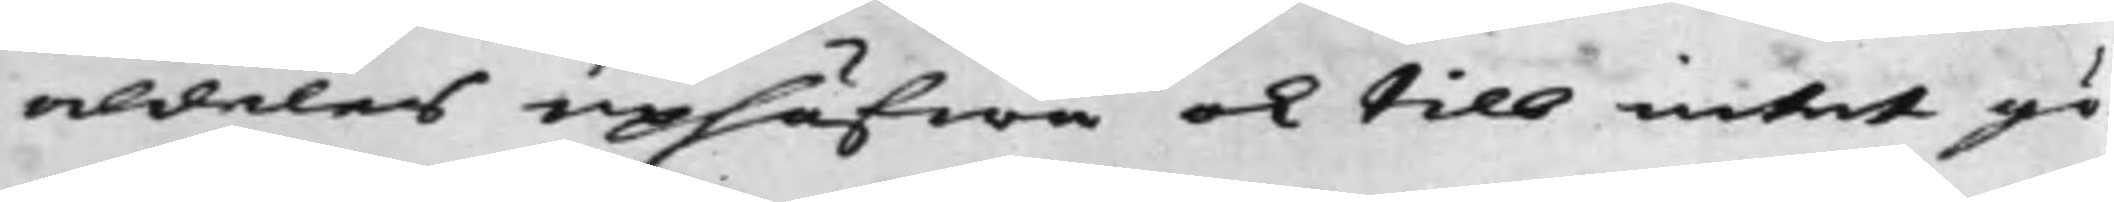aldeles uphäfwa och till intet gö¬
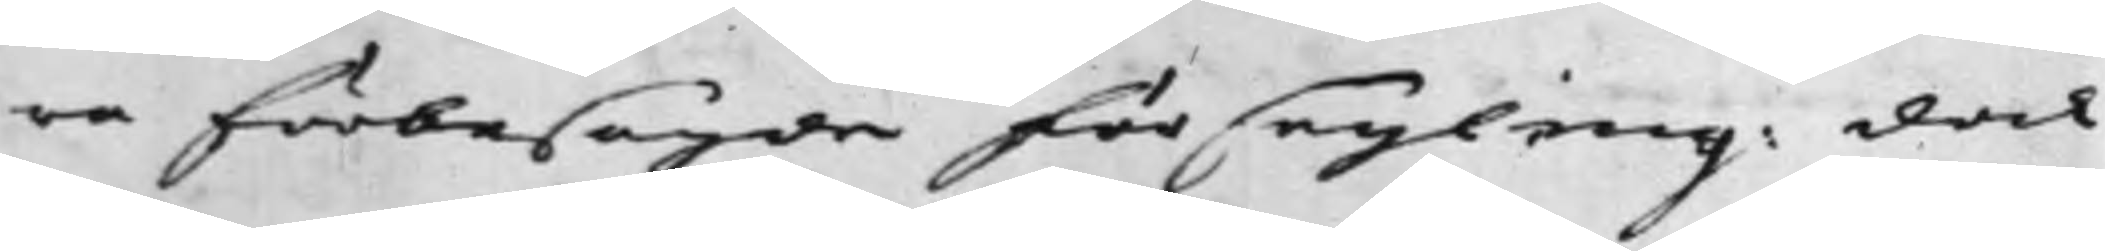ra förbesagde försegling: dock
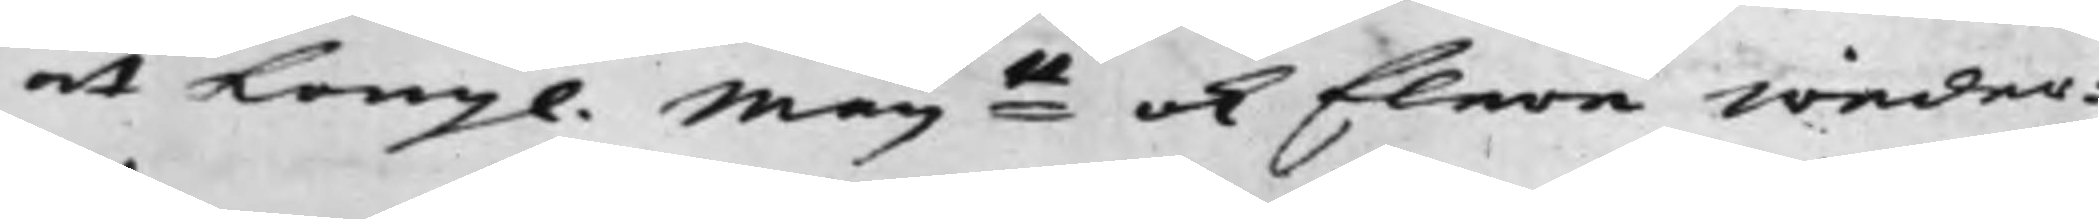at Kong. May:tt ok flera weder¬
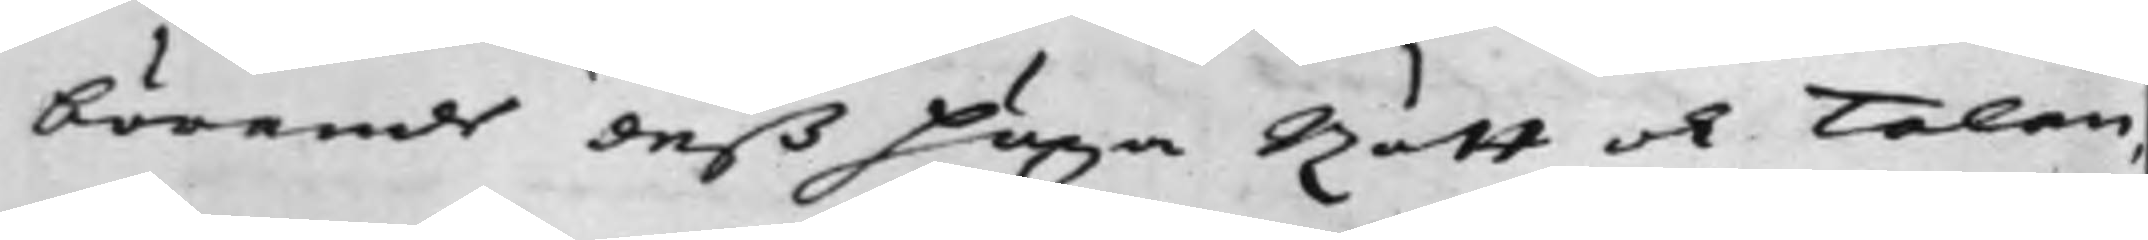börande deß höga Rätt och Talan,
